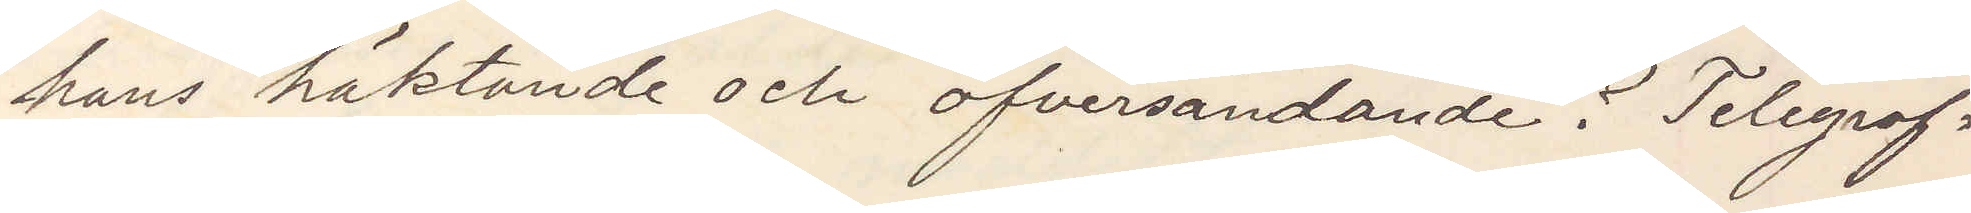hans häktande och öfversändande? Telegraf¬
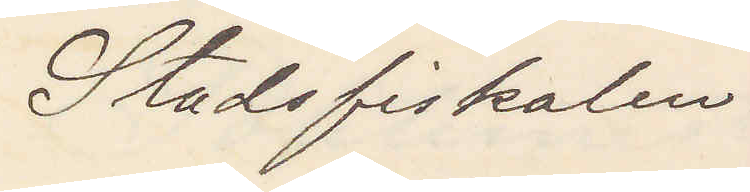Stadsfiskalen.
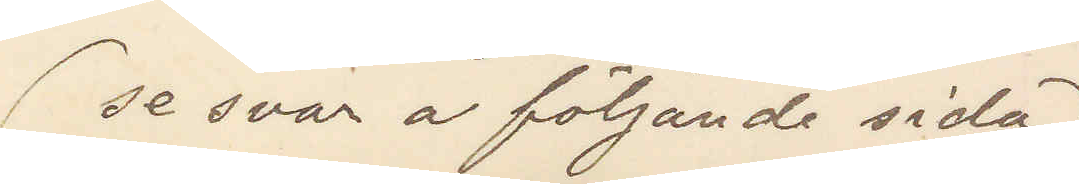(se svar å följande sida)
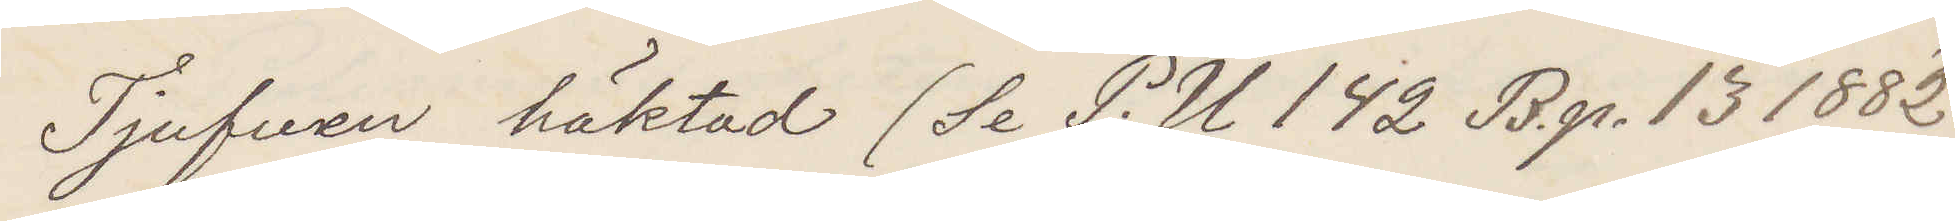Tjufven häktad (Se P. U 142 B. p. 13 1882)
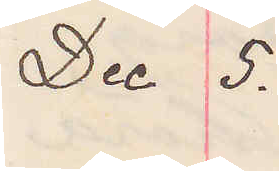Dec 5.
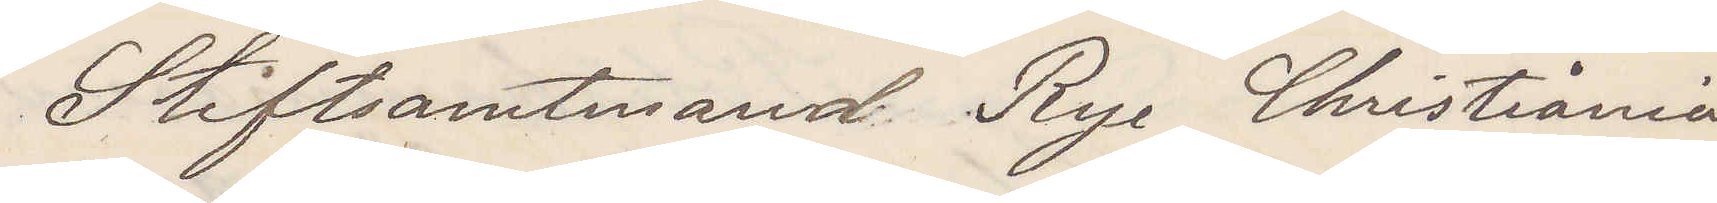Stiftsamtmand Rye Christiania
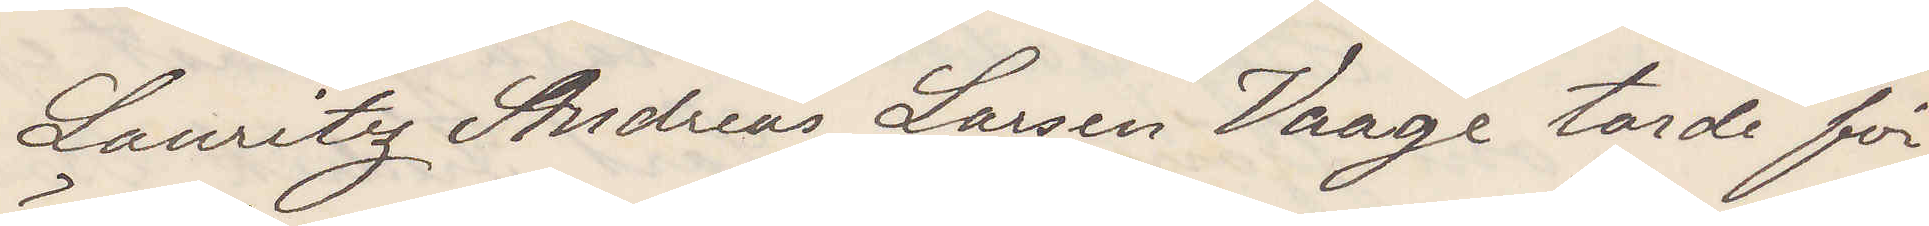Lauritz Andreas Larsen Vaage torde för¬
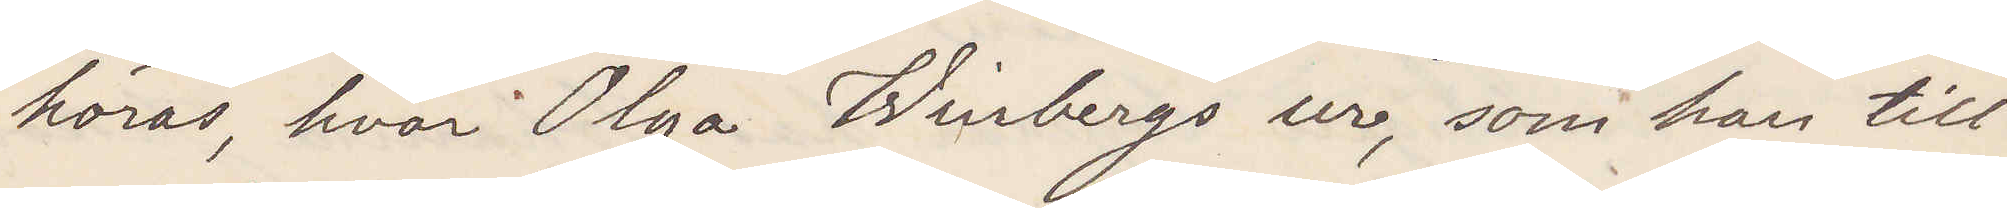höras, hvar Olga Winbergs ur, som han till¬
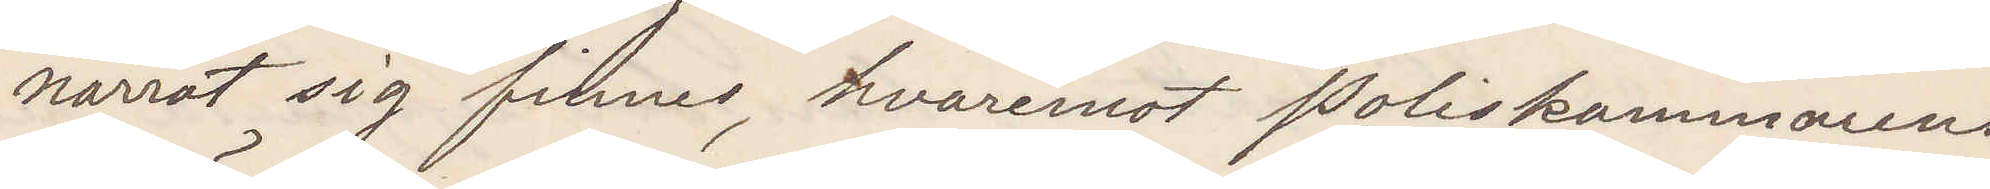narrat sig finns, hvaremot Poliskammarens
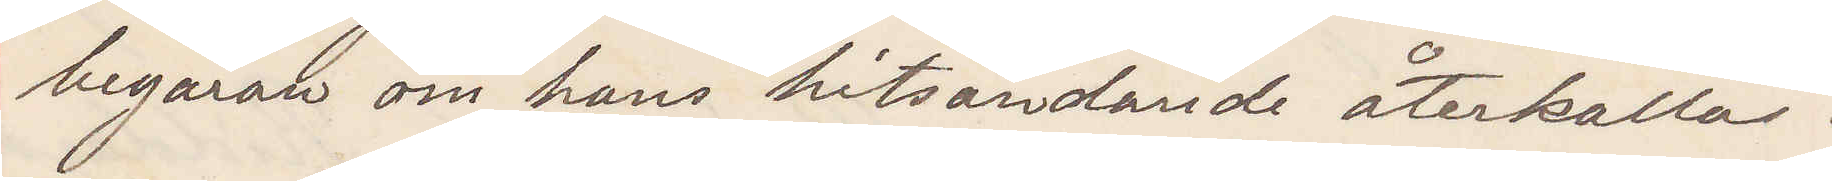begäran om hans hitsändande återkallas.
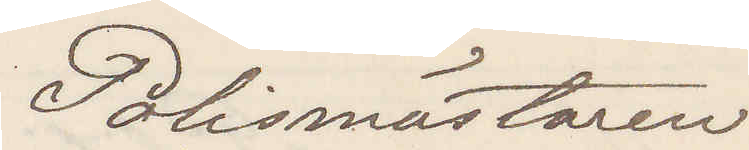Polismästaren
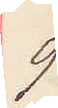9
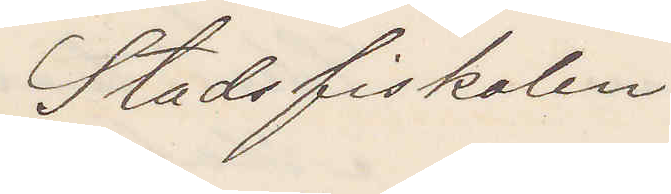Stadsfiskalen 
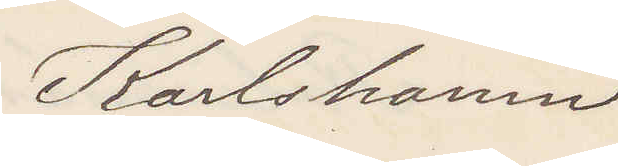Karlshamn
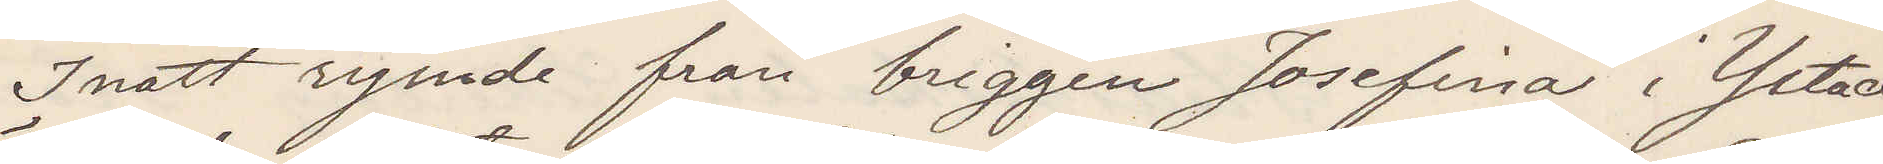Inatt rymde från briggen Josefina i Ystad
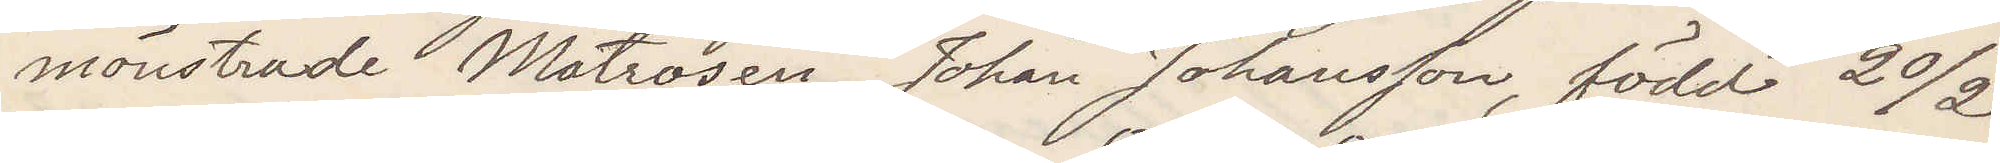mönstrade Matrosen Johan Johansson, född 20/2
